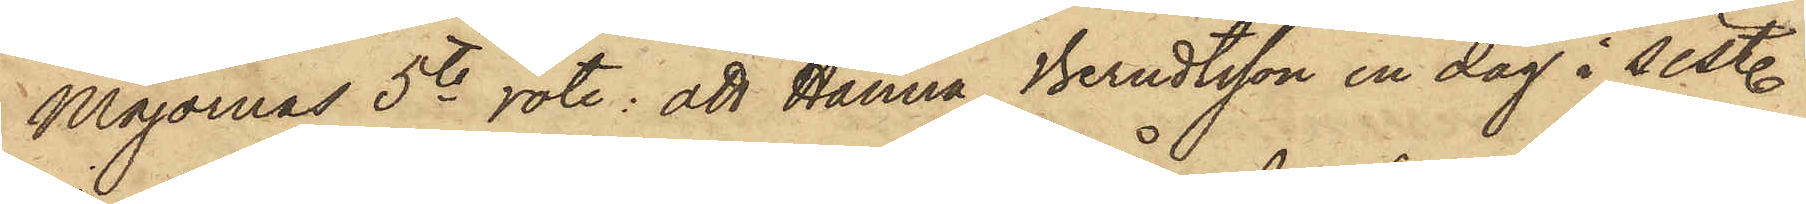Majornas 5te rote: att Hanna Berndtsson en dag i sist.
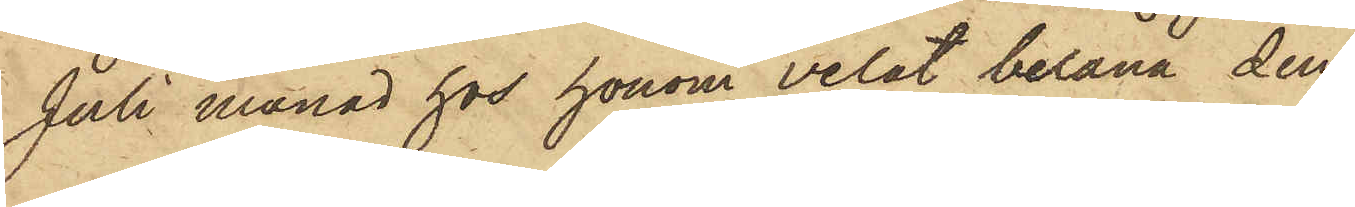Juli månad hos honom velat belåna den
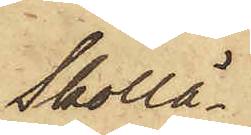Skollä¬
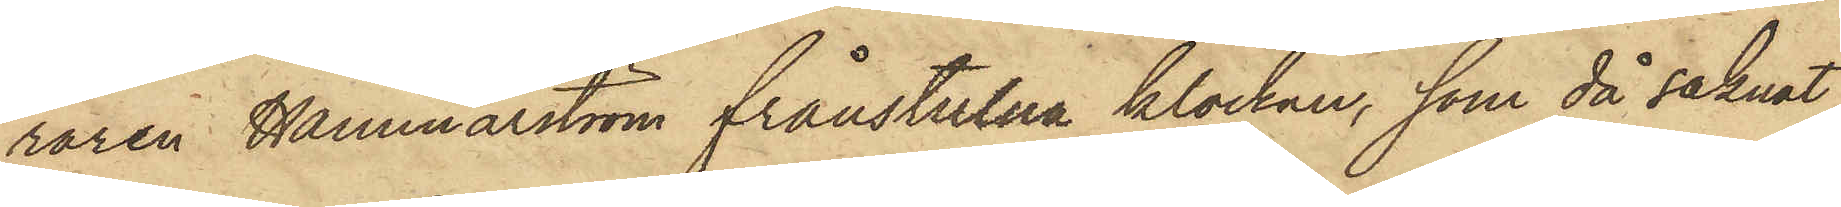raren Hammarström frånstulna klockan, som då saknat
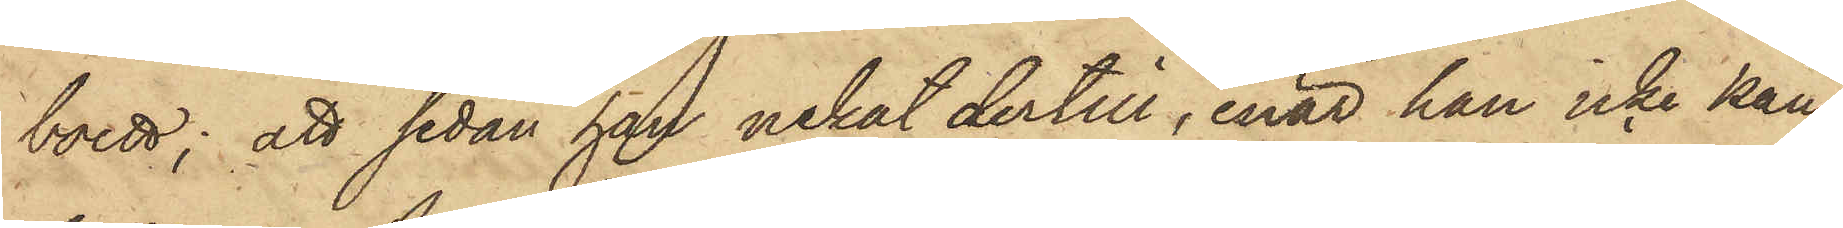boett; att sedan han nekat dertill, enär han icke kän¬
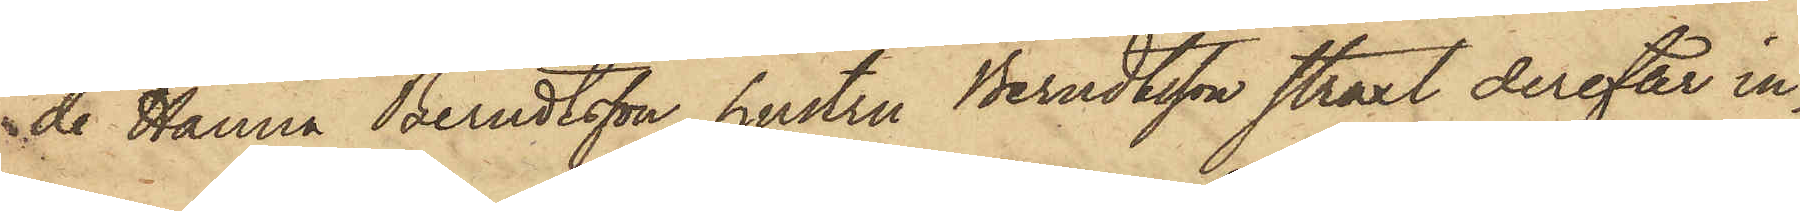de Hanna Berndtsson, hustru Berndtsson straxt derefter in¬
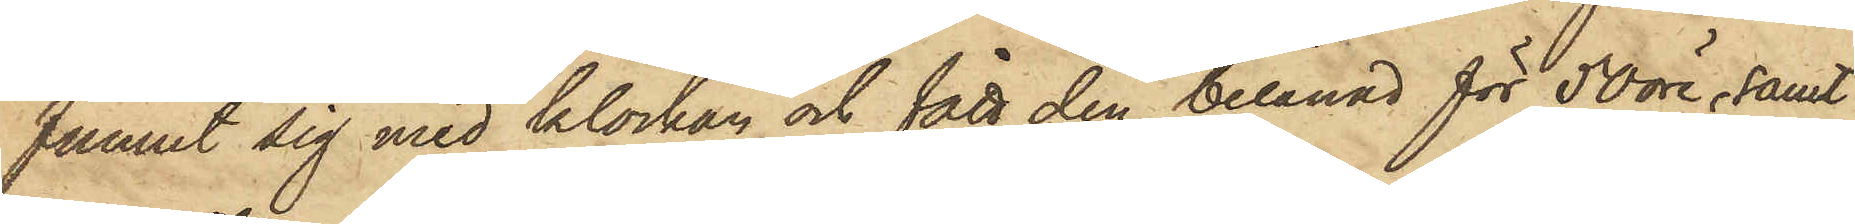funnit sig med klockan och fått den belånad för 50 öre, samt
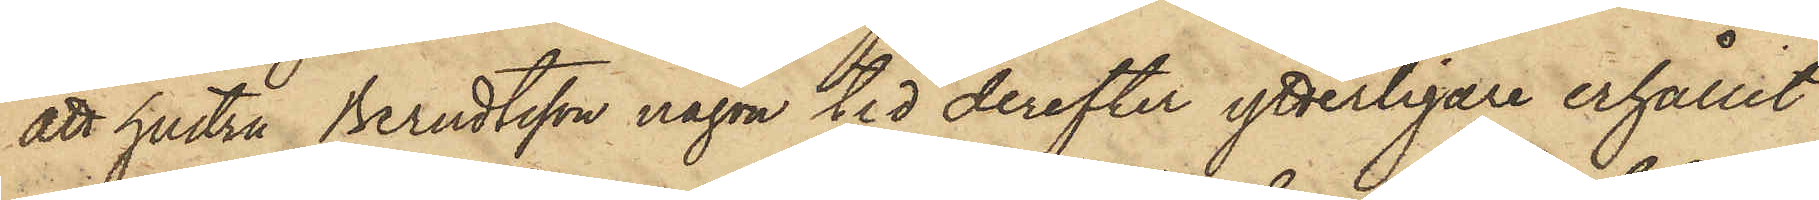att hustru Berndtsson någon tid derefter ytterligare erhållit
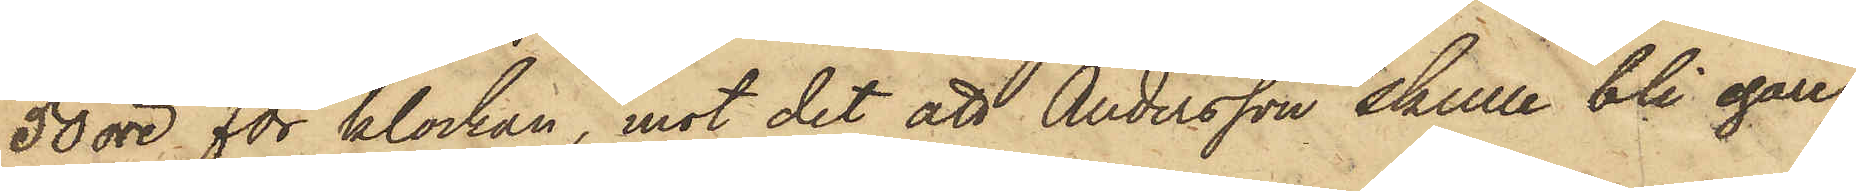50 öre för klockan, mot det att Andersson skulle bli egare
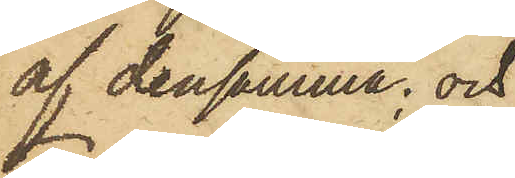af densamma; och
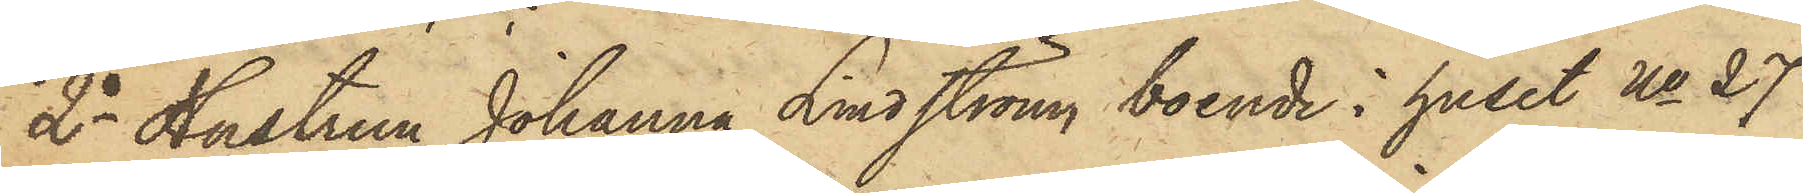2o Hustrun Johanna Lindström, boende i huset No 27
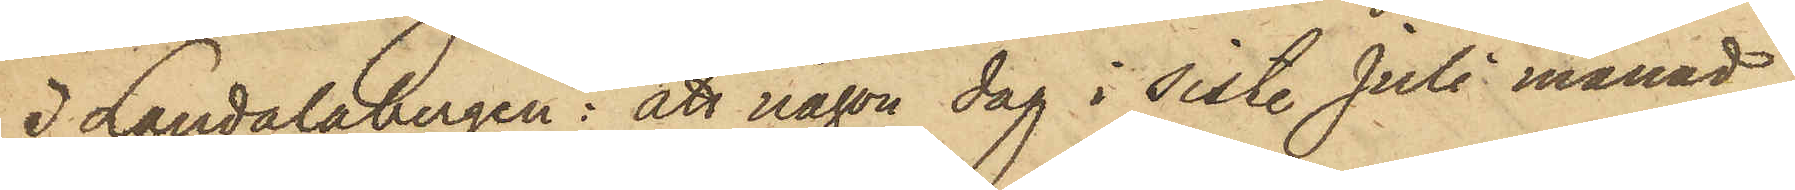i Landalabergen: att någon dag i sist. Juli månad
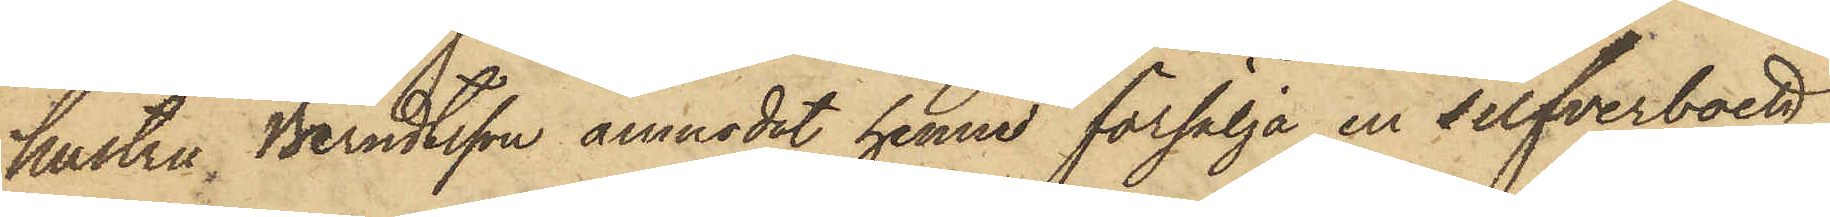hustru Berndtsson anmodat henne försälja en silfverboett,
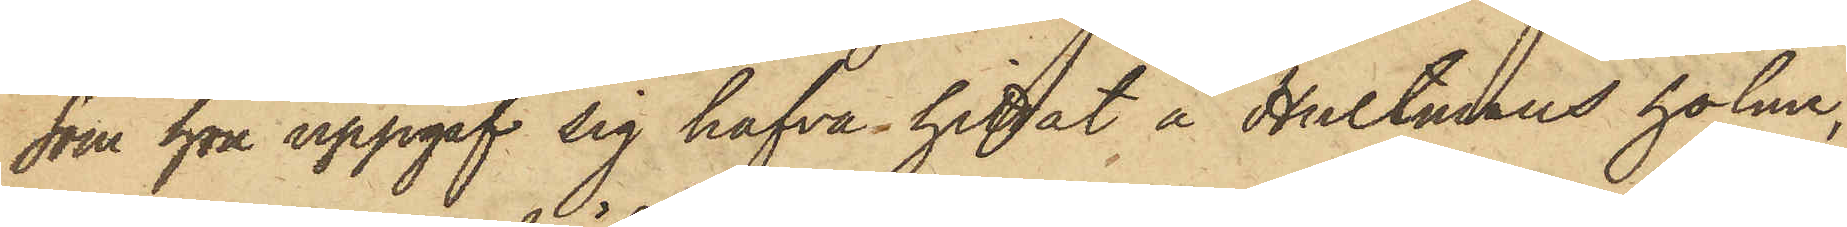som hon uppgaf sig hafva hittat å Hultmans holme,
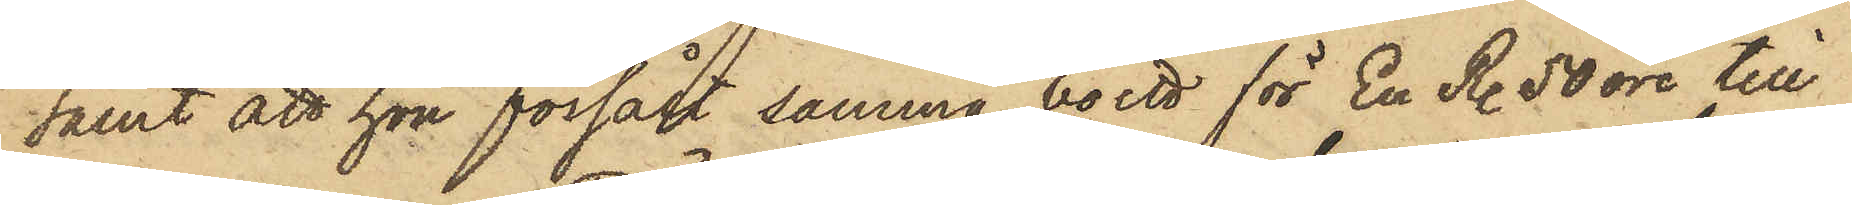samt att hon försålt samma boett för En R. 50 öre till
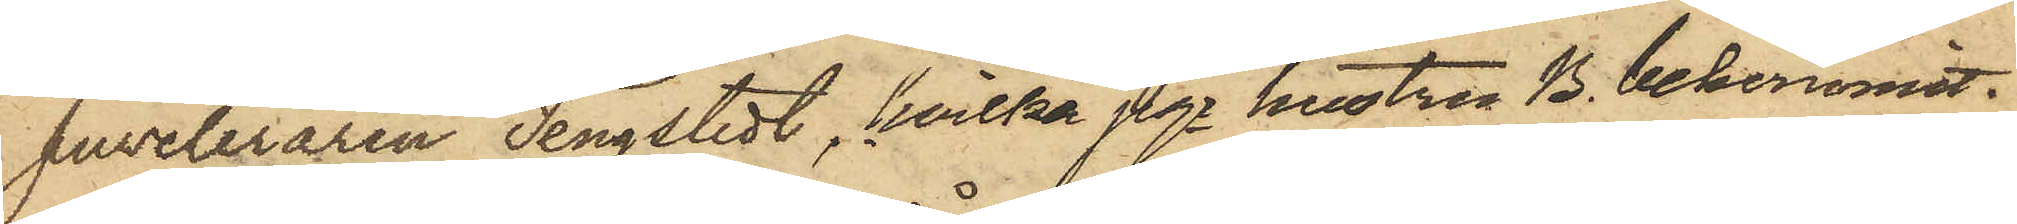Juveleraren Tengstedt, hvilka pgr hustru B. bekommit.
